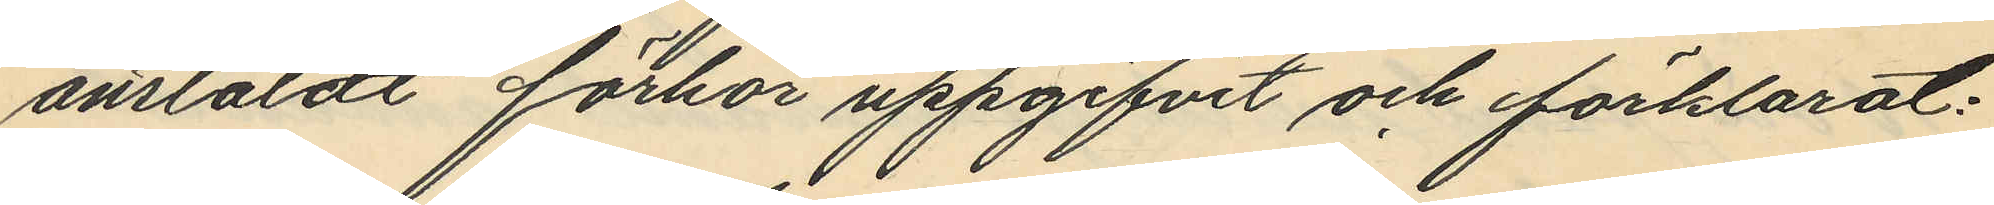anstäldt förhör uppgifvit och förklarat:
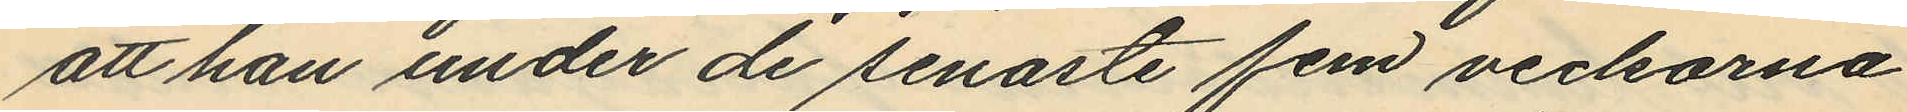att han under de senaste fem veckorna
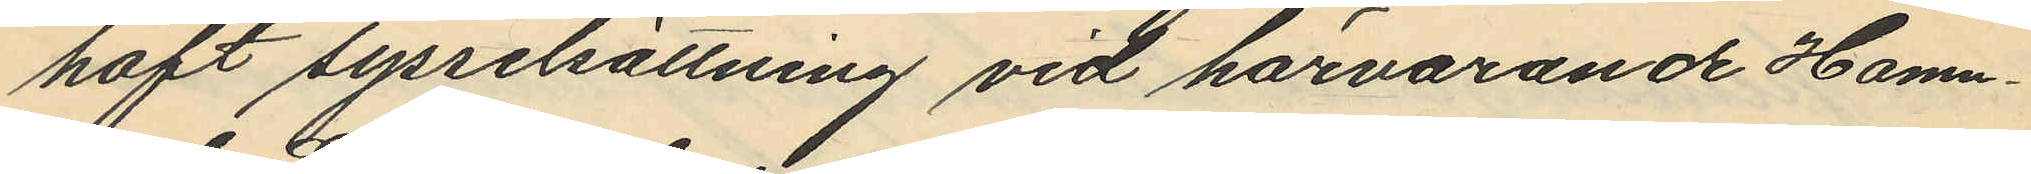haft sysselsättning vid härvarande Hamn¬
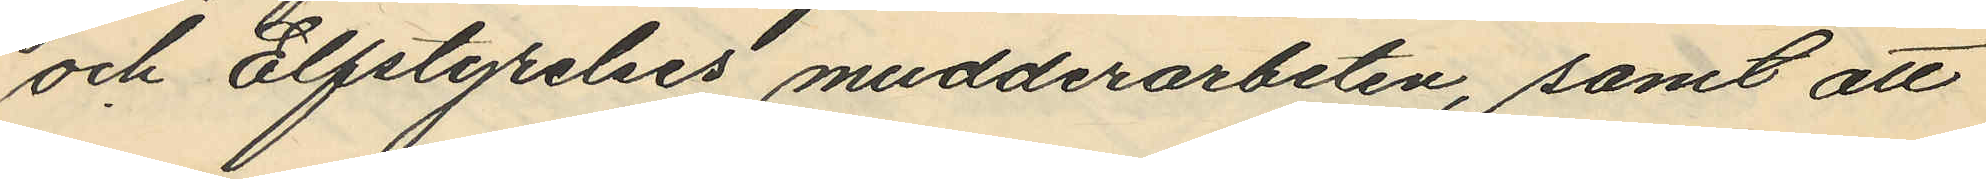och Elfstyreles mudderarbeten, samt att
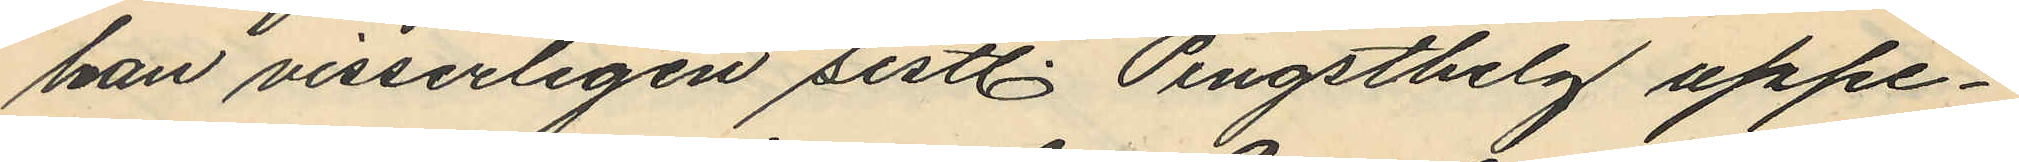han visserligen sistl. Pingsthelg uppe¬
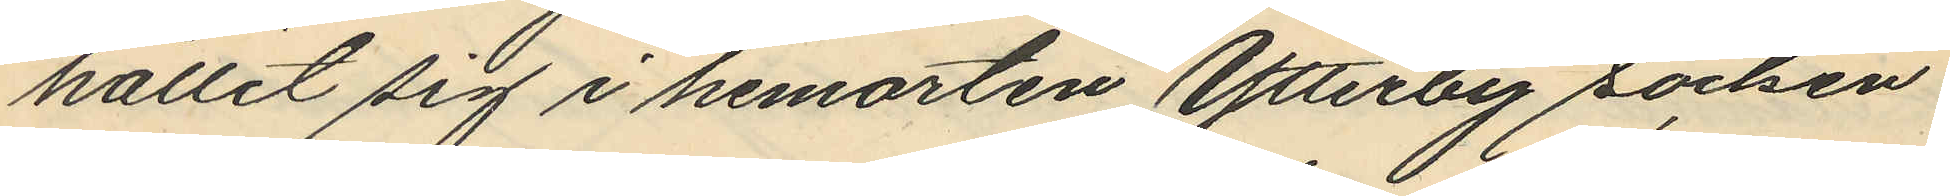hållit sig i hemorten Ytterby socken
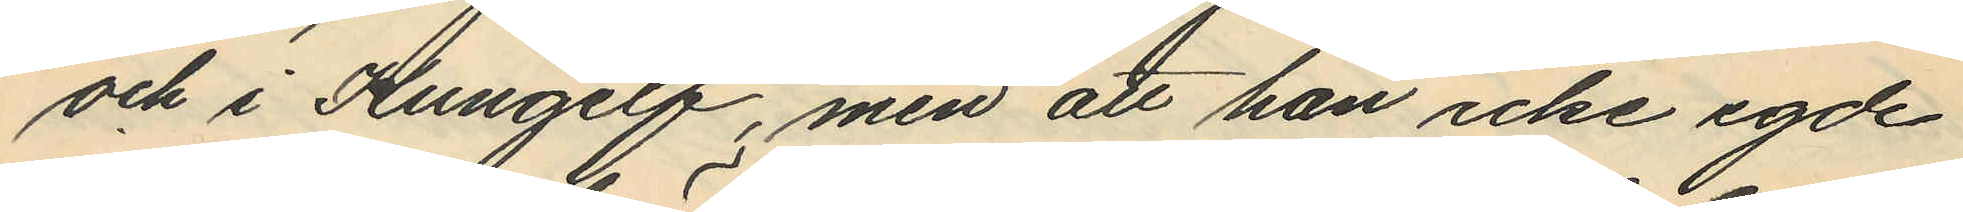och i Kungelf, men att han icke egde
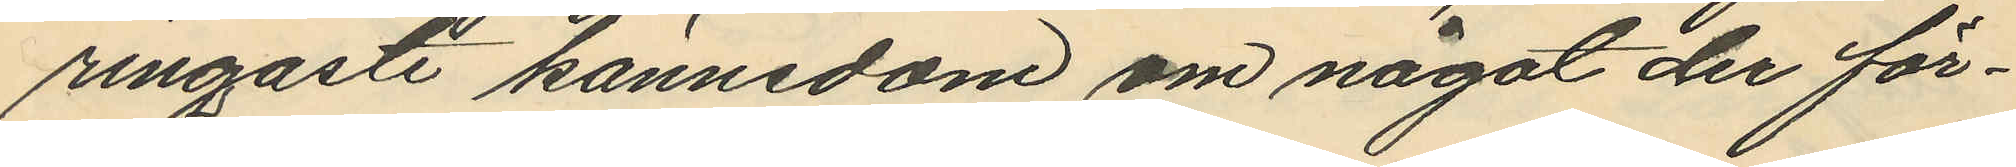ringaste kännedom om något der för¬
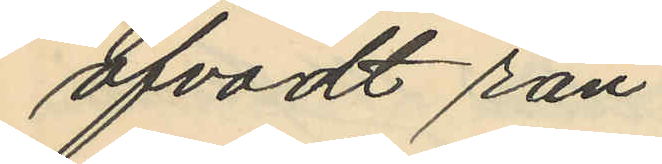öfvadt rån
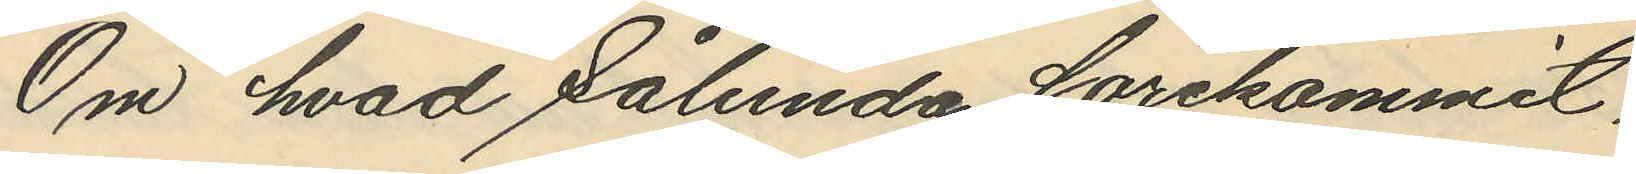Om hvad sålunda förekommit,
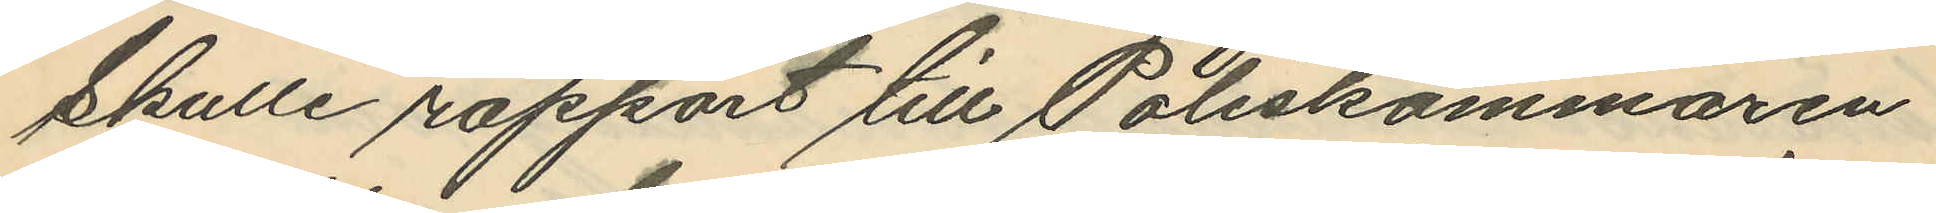skulle rapport till Poliskammaren
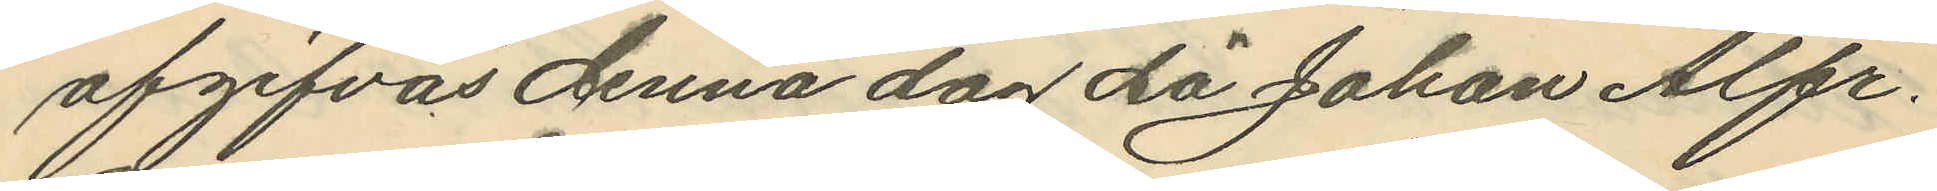afgifvas denna dag då Johan Alfr.
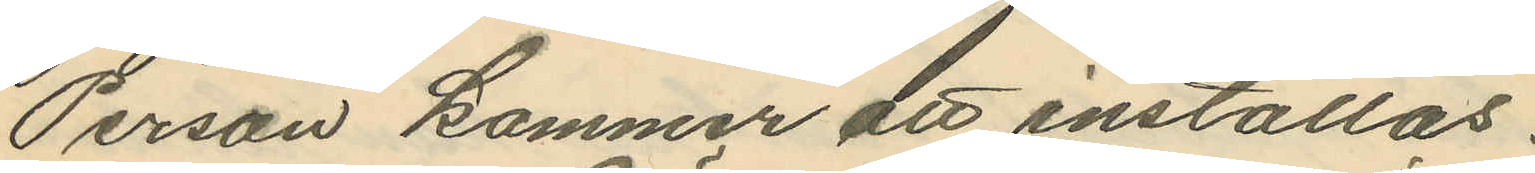Person kommer att inställas.
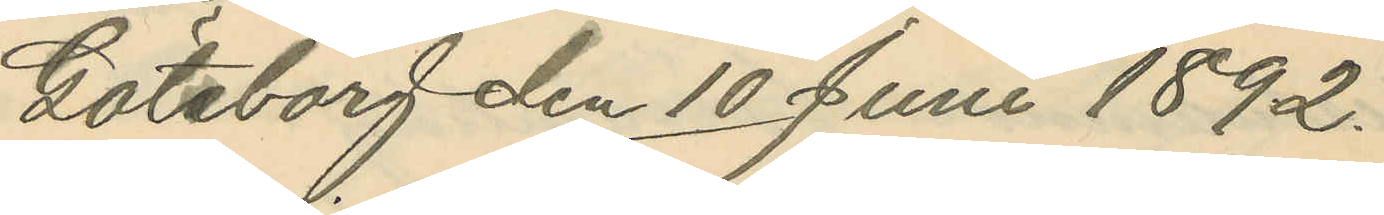Göteborg den 10 Juni 1892.
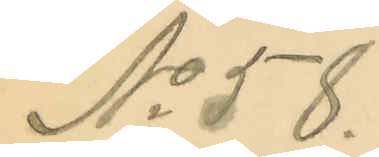No 58.
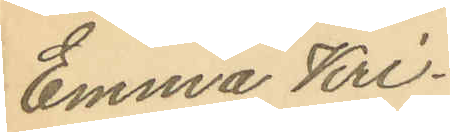Emma Kri¬
